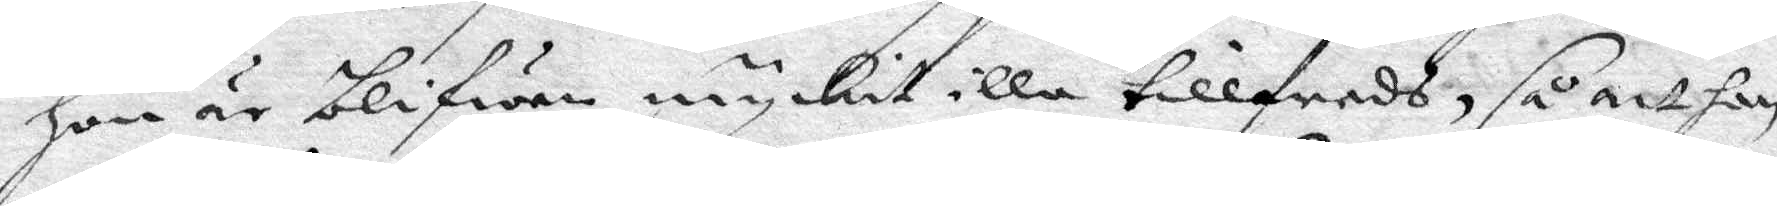hon är blifwen myckit illa tillfreds, så att hon
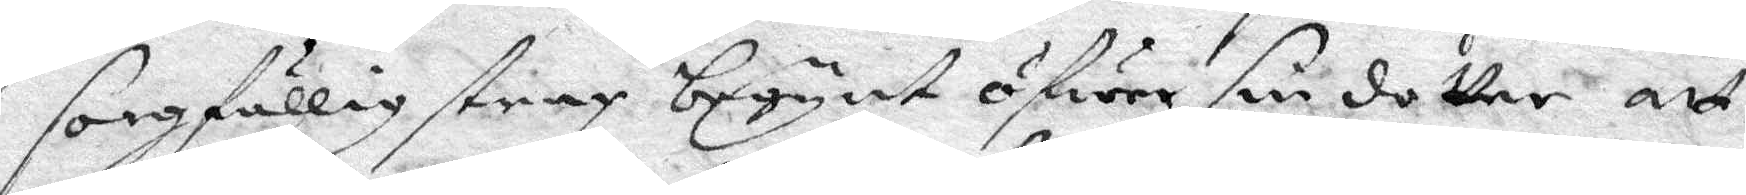sorgfällig strax begynt ögwer sin dotter att
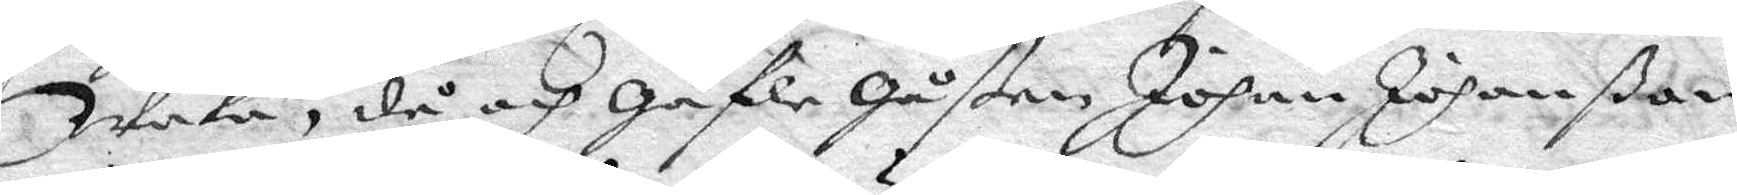Waka, då och Gäfle Gåßen Johan Johanßon
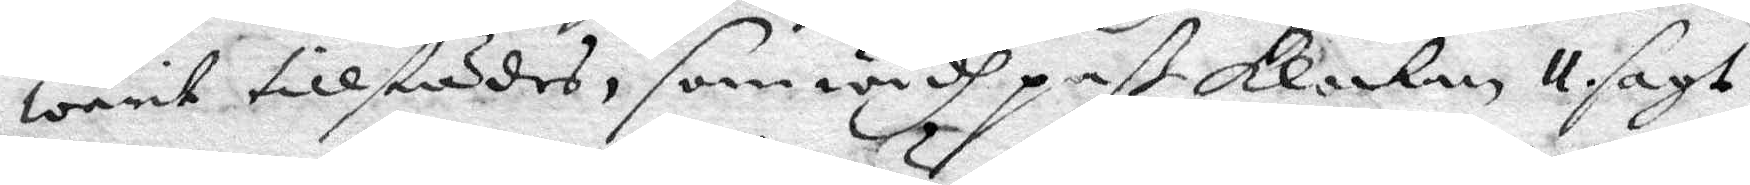warit tillstädes, som widh paß klockan 11 sagt:
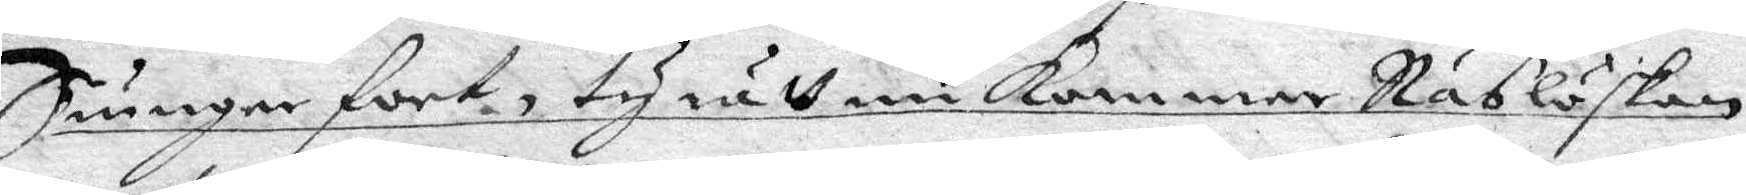Sungar fort, ty rätt nu kommer Näslöskan,
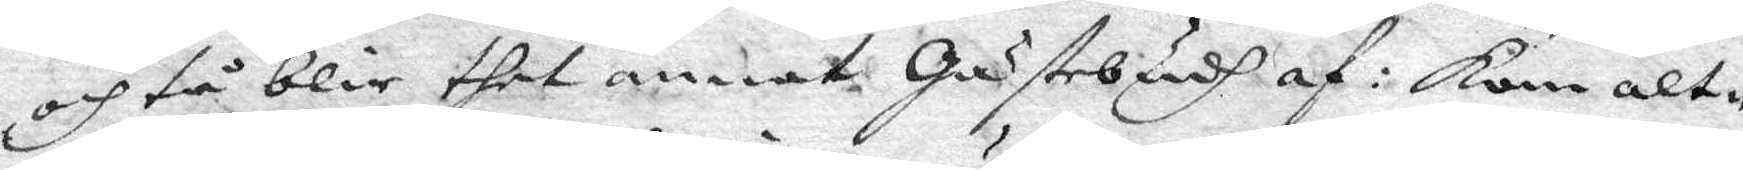och tå blir thet annat Gästebudh af: kan alt¬
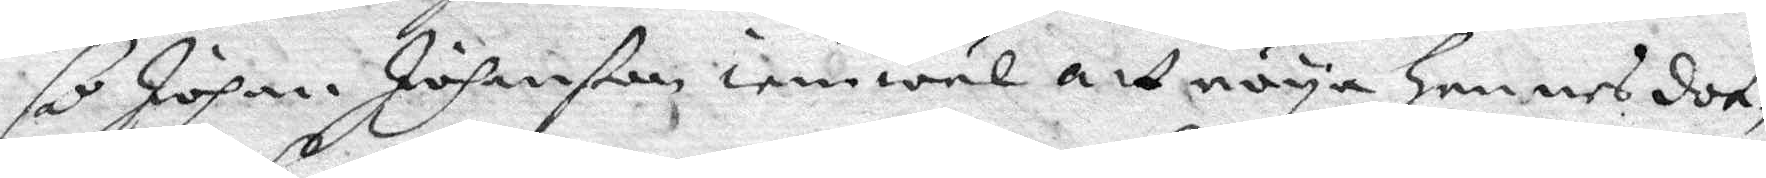så Johan Johanßon iemwäl att nöya hennes dot¬
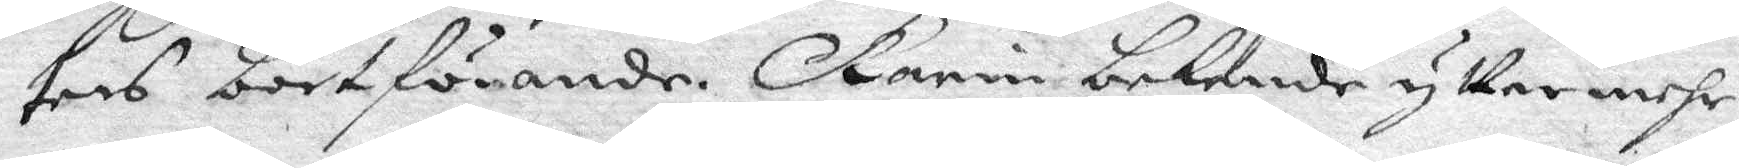ters bortförande, Karin bekende yttermehr
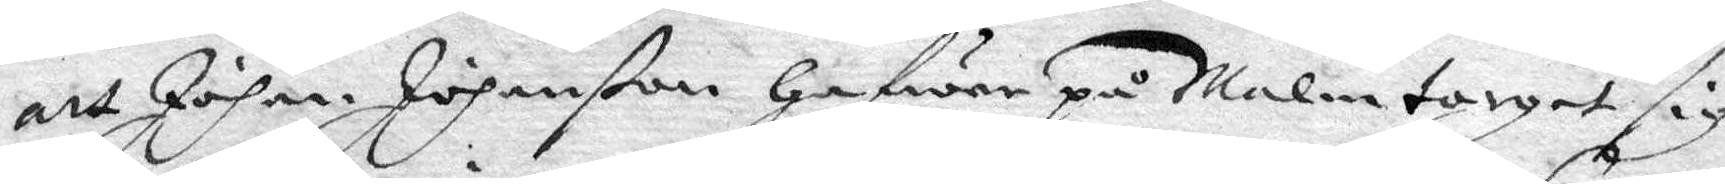att Johan Johanßon Hafwer på Malmtorget sig
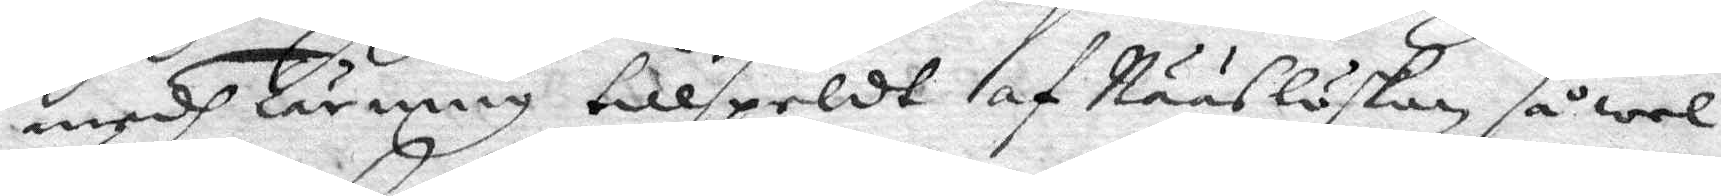medh Tärning tillspeldt af Nääslöskan så wel
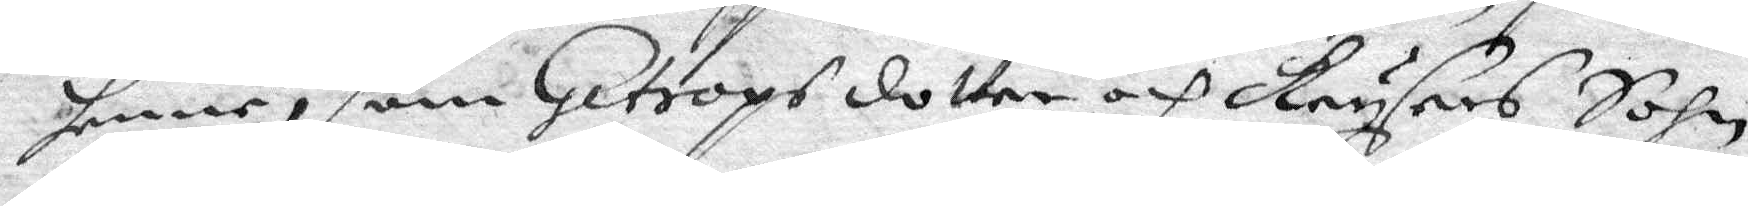henne, som Getrops dotter och Krysers Sohn,
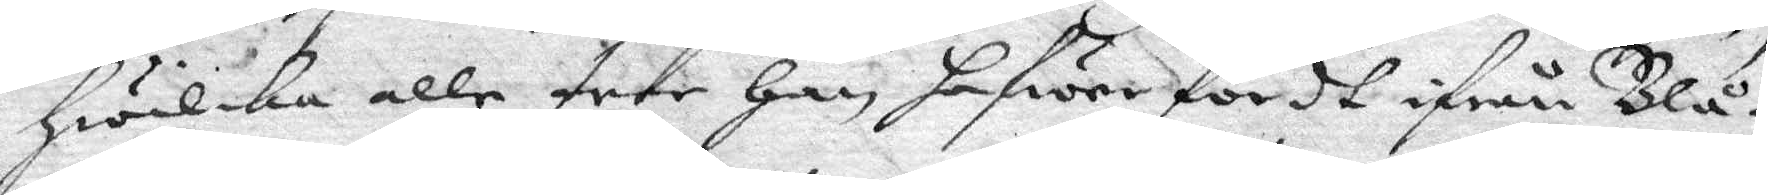Hwilka alle tree Han hafwer fördt ifrån Blå¬
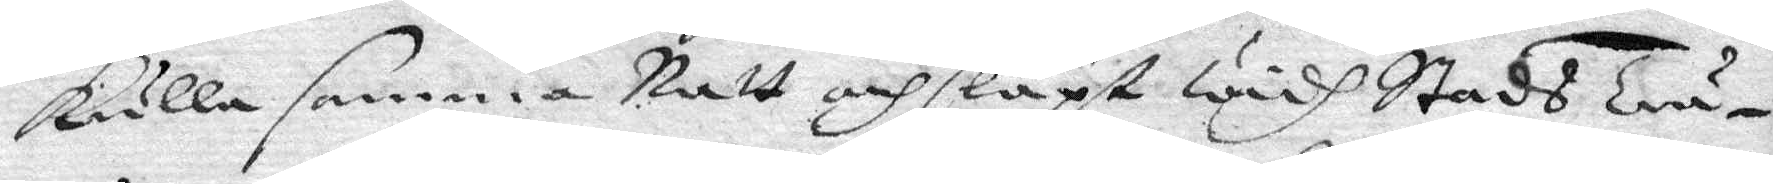kulla samma Natt och släpt widh Stads tru¬
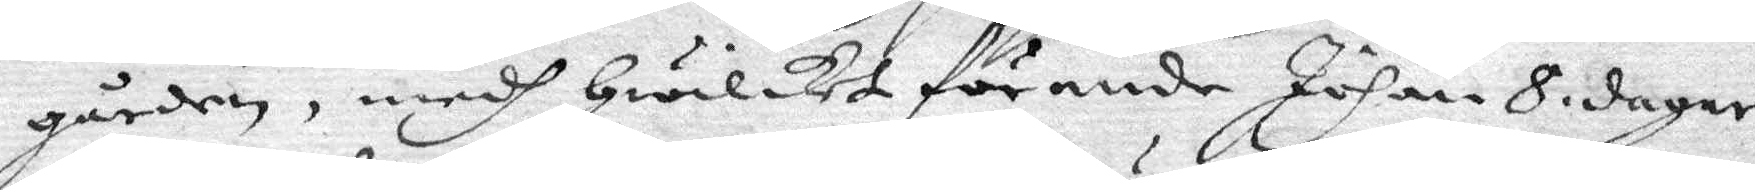gården, medh Hwilket förande Johan 8 dagar
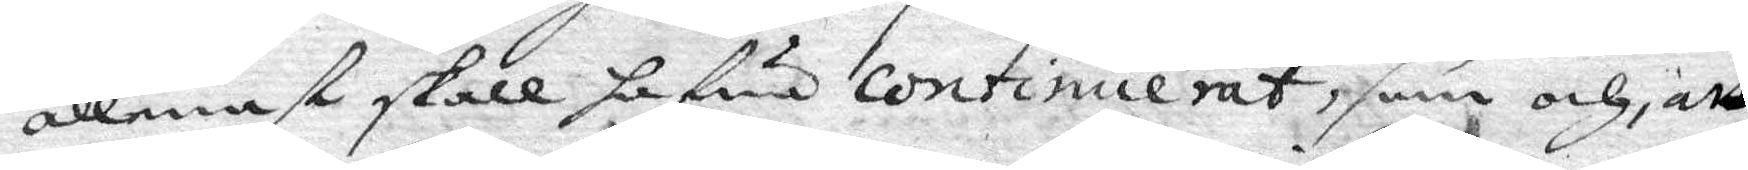allenast skall hafwa continuerat, som och att
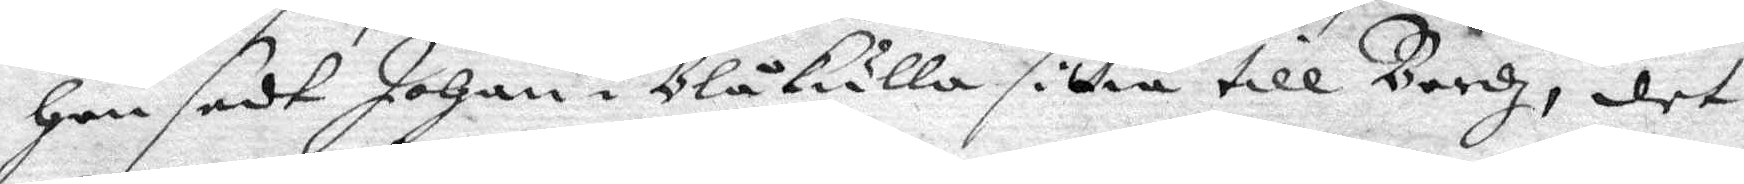Hon sedt Johan i Blåkulla sittia till Bordz, det
